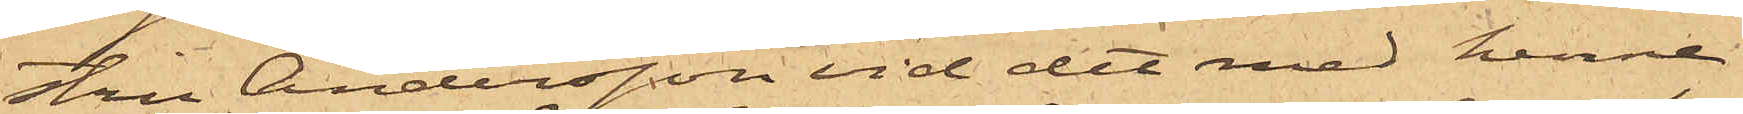stru Andersson vid det med henne
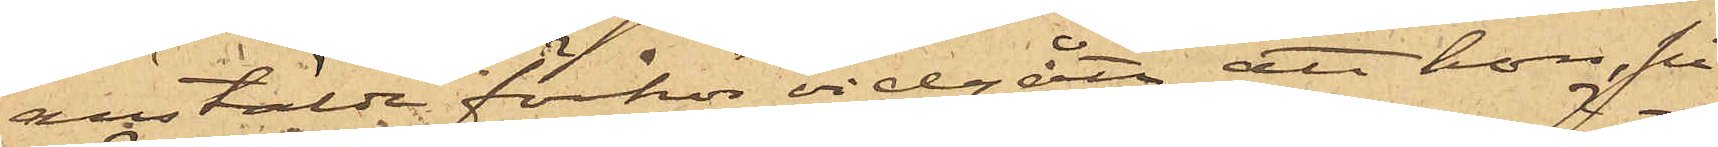anstälde förhör vidgått, att hon, på
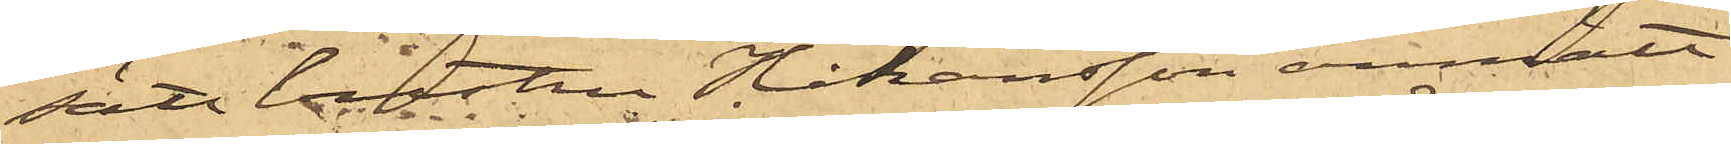sätt hustru Håkansson anmält,
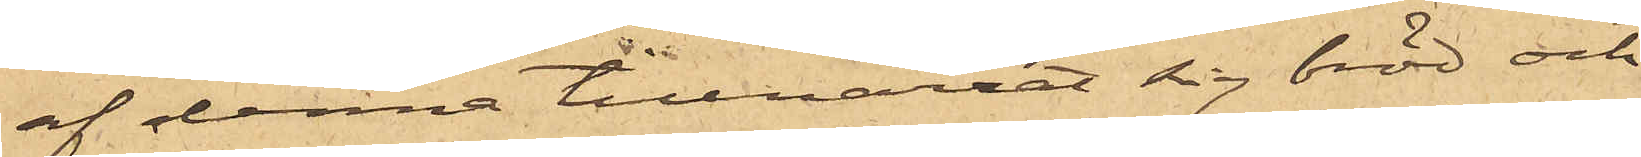af denna tillnarrat sig bröd och
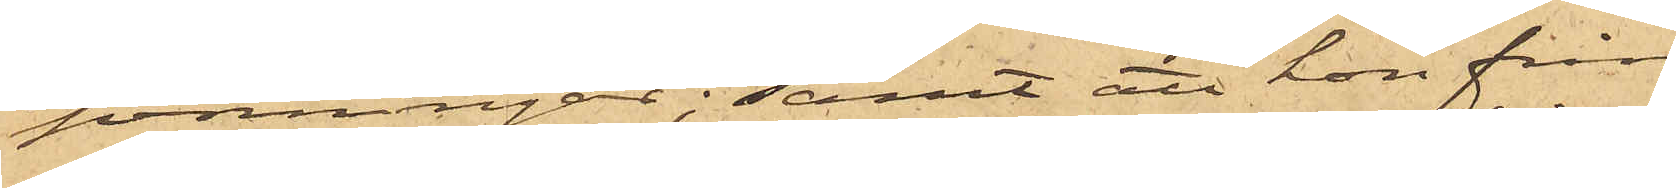penningar; samt att hon från
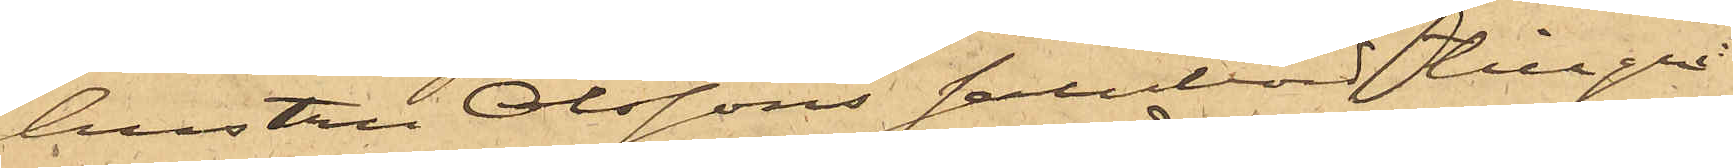hustru Olssons salubord tillgri¬
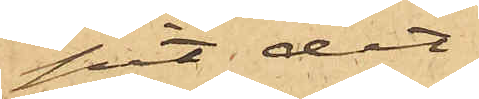pit det
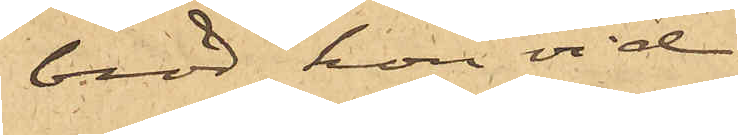bröd hon vid
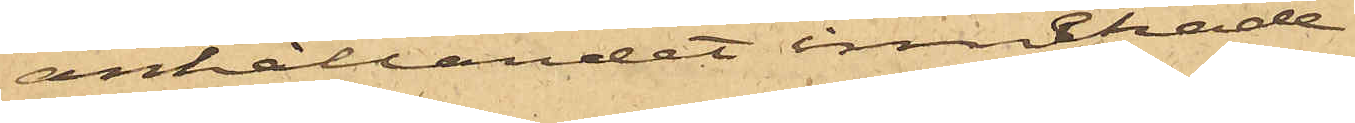anhållandet innehade.
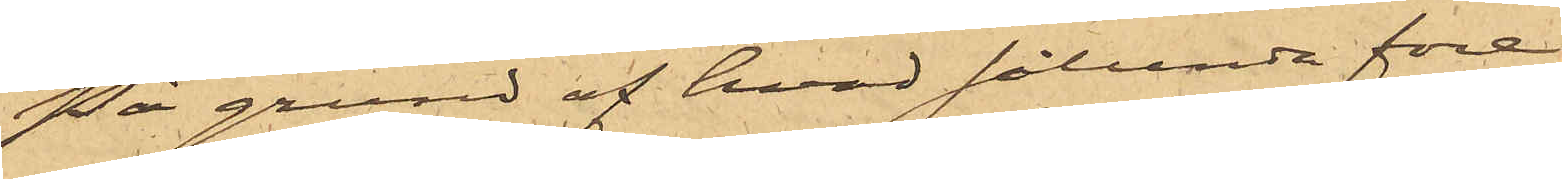På grund af hvad sålunda före¬
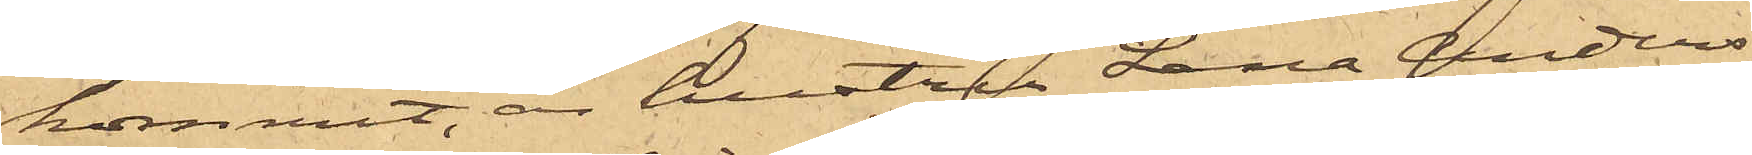kommit, är hustru Lena Anders¬
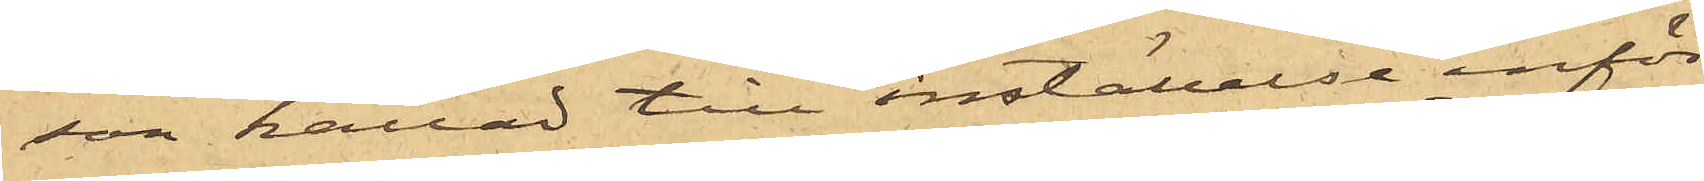son kallad till inställelse inför
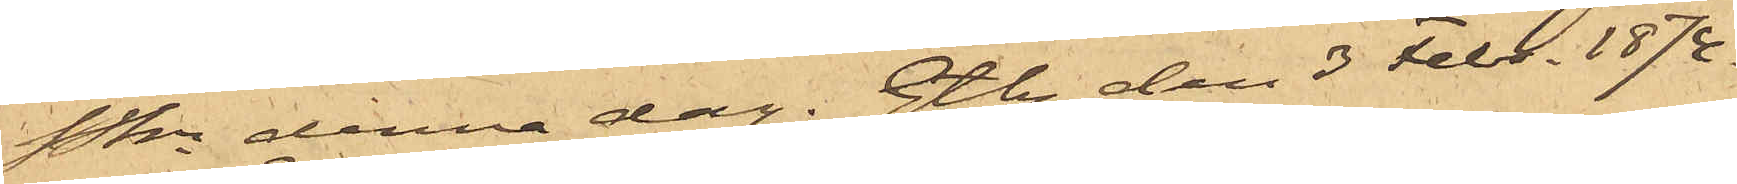Pkn denna dag. Gtbg den 3 Febr. 1874.
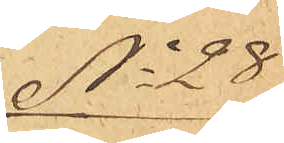No 28
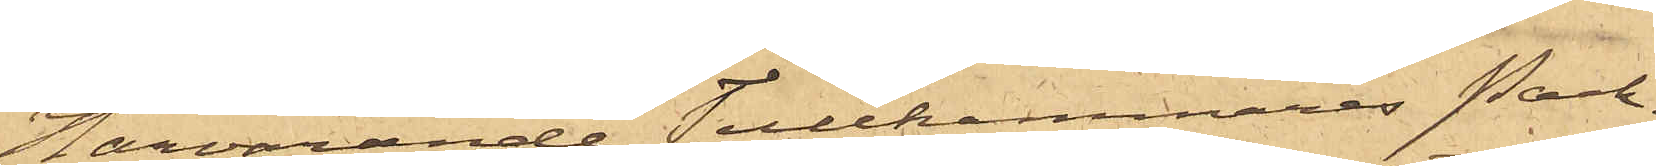Härvarande Tullkammares Pack¬
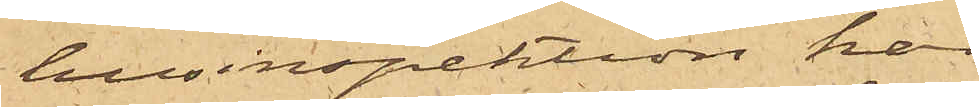husinspektion har
